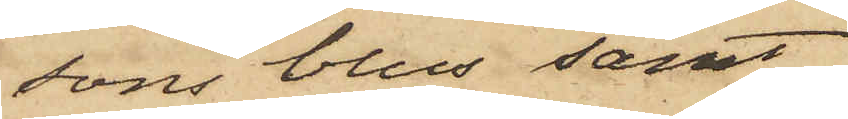sons blus samt
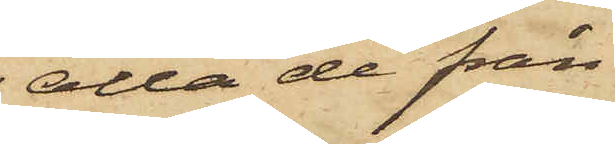alla de från
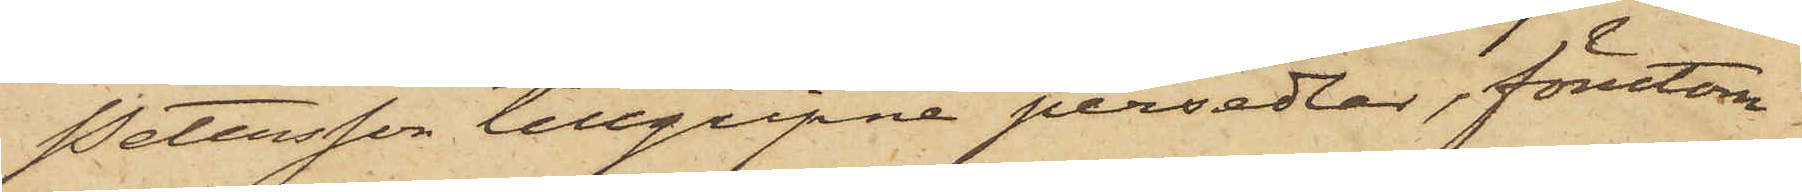Petersson tillgripne persedlar, förutom
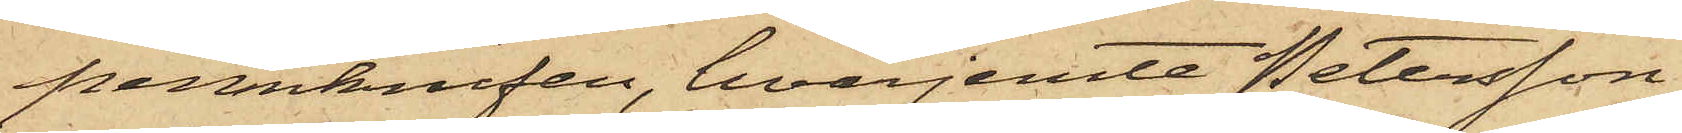pennknifen, hvarjemte Petersson
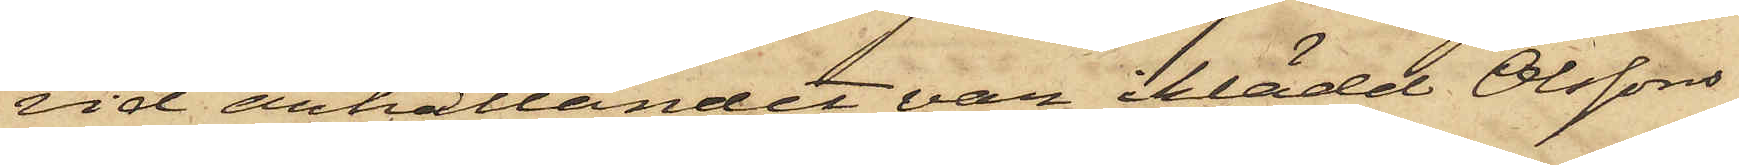vid anhållandet var iklädd Olssons
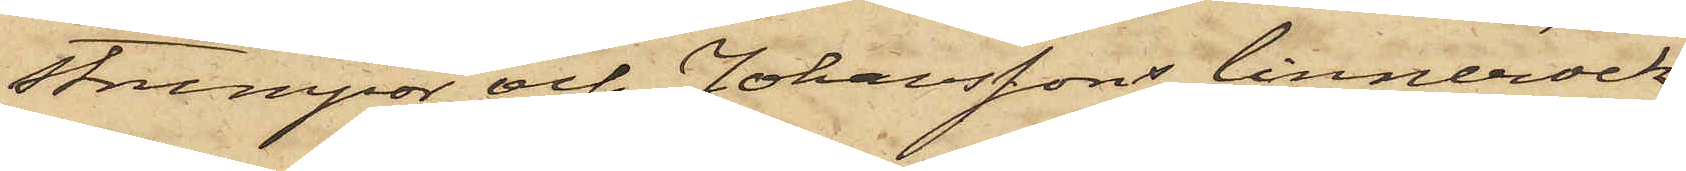strumpor och Johanssons linnerock.
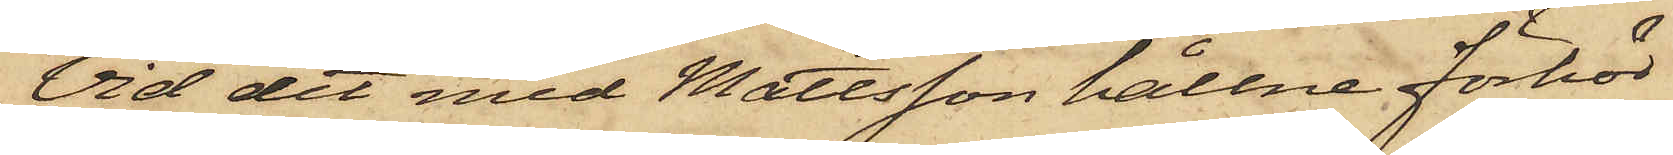Vid det med Mattsson hållne förhör
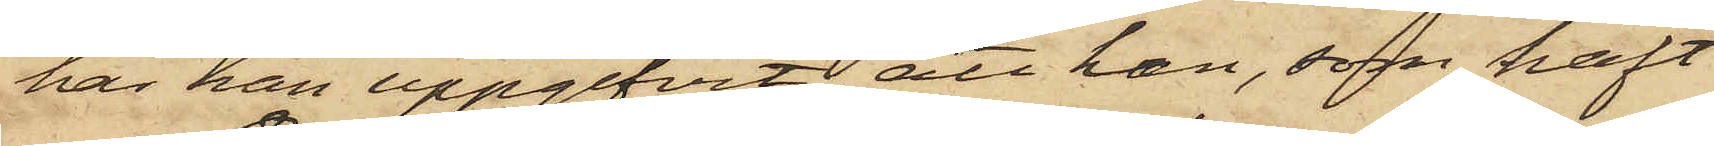har han uppgifvit att han, som haft
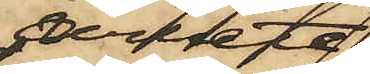arbete
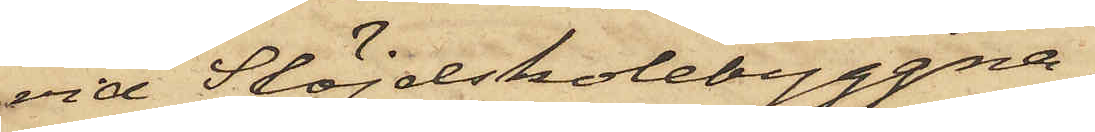vid Slöjdskolebyggna¬
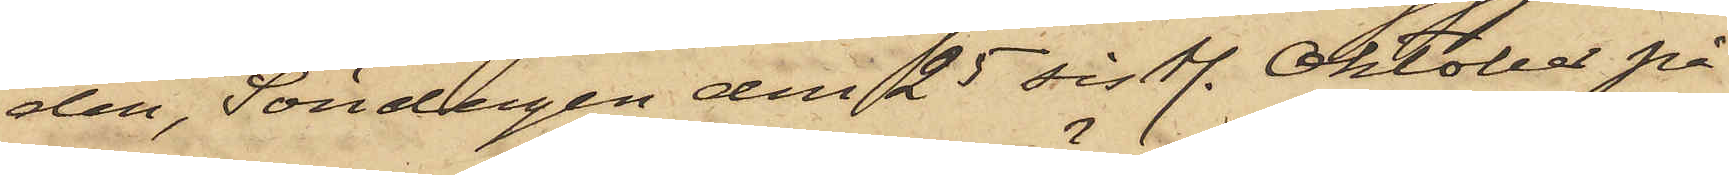den, Söndagen den 25 sistl. Oktober på
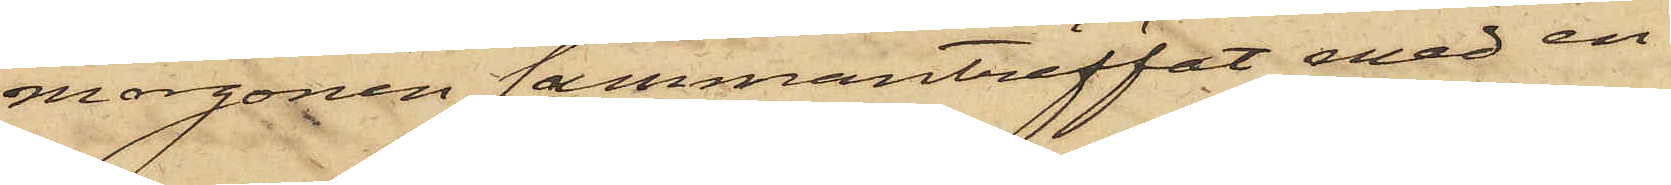morgonen sammanträffat med en
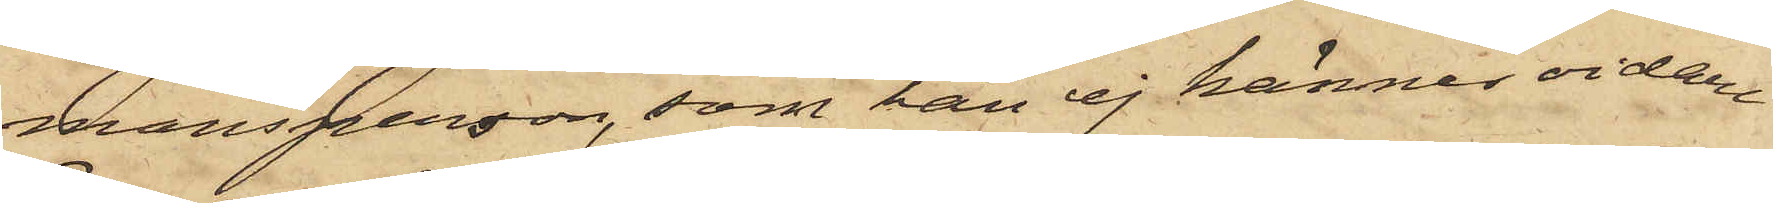mansperson, som han ej kännes vidare
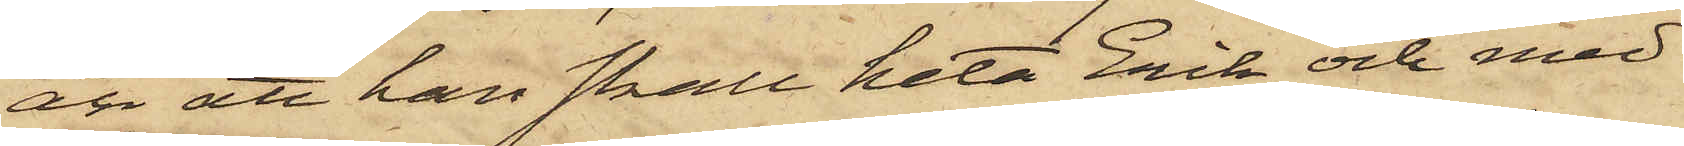än att han skall heta Erik och med
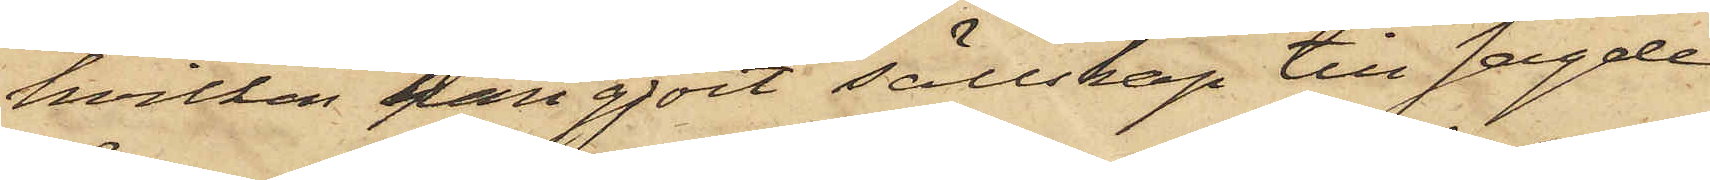hvilken han gjort sällskap till sagde
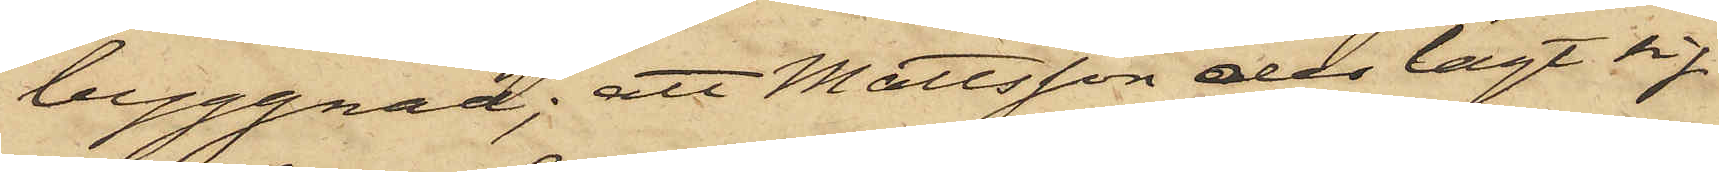byggnad; att Mattsson der lagt sig
